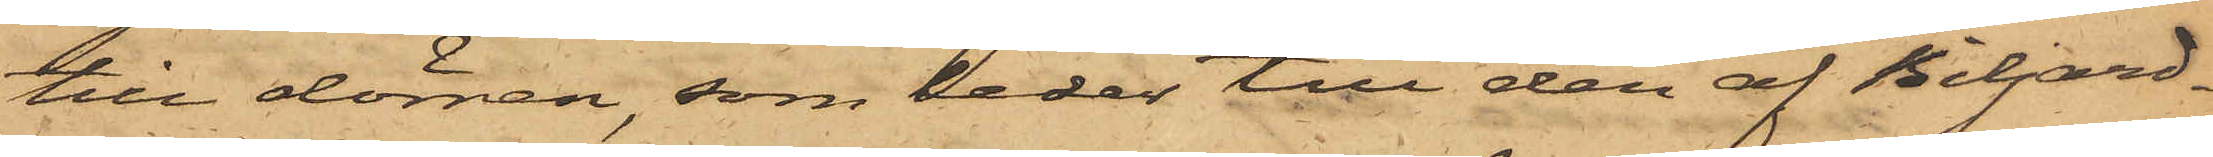till dörren, som leder till den af Biljard¬
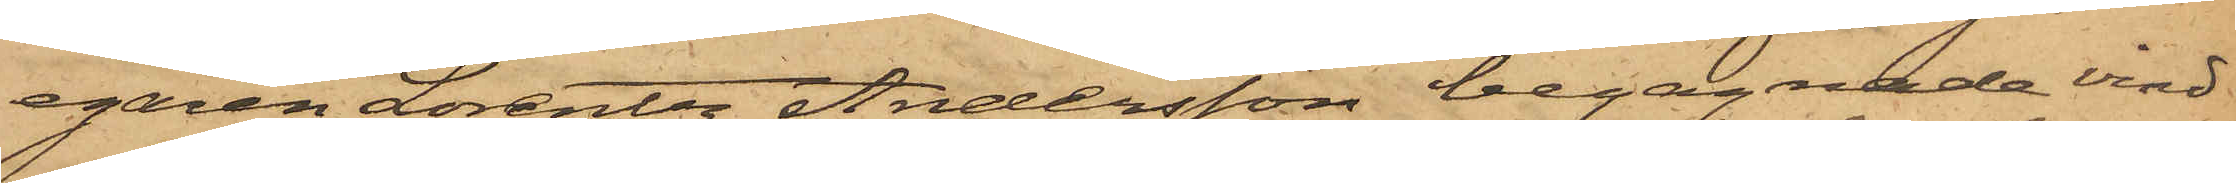egaren Lorentz Andersson begagnade vind
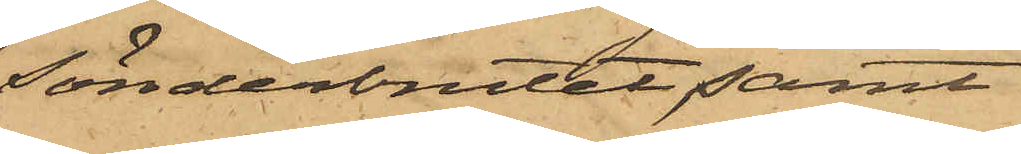sönderbrutet, samt
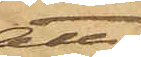att
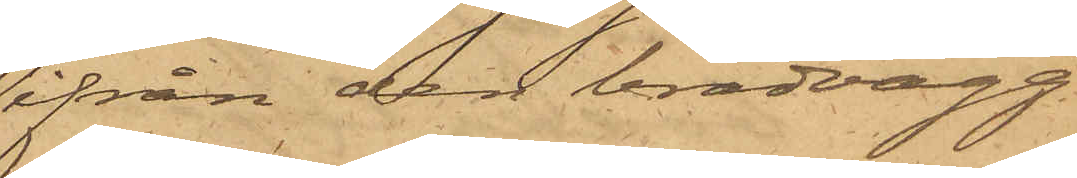ifrån den brädvägg
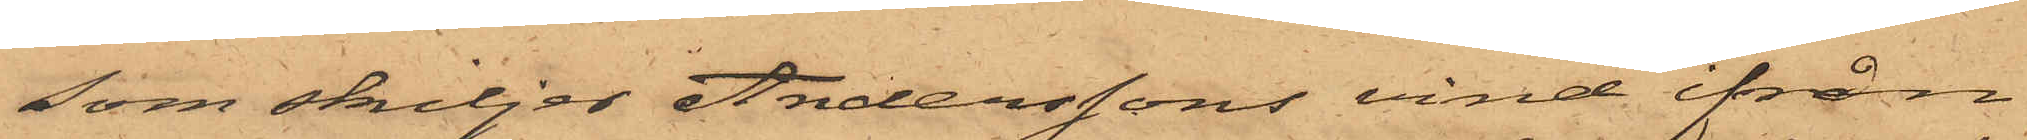som skiljer Anderssons vind ifrån
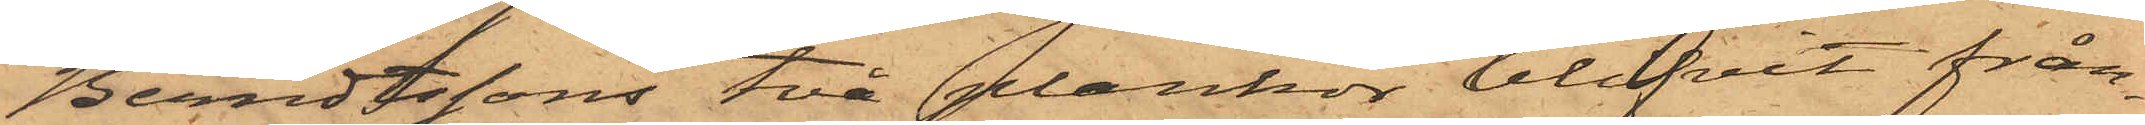Berndtssons två plankor blifvit från¬
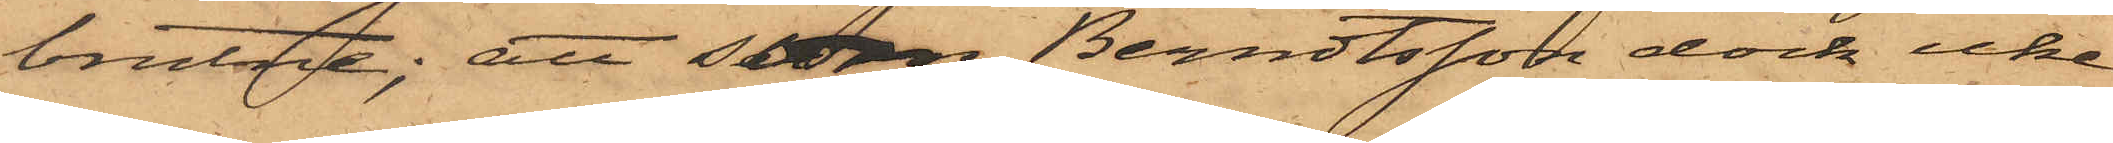brutne; att sedan Berndtsson dock icke
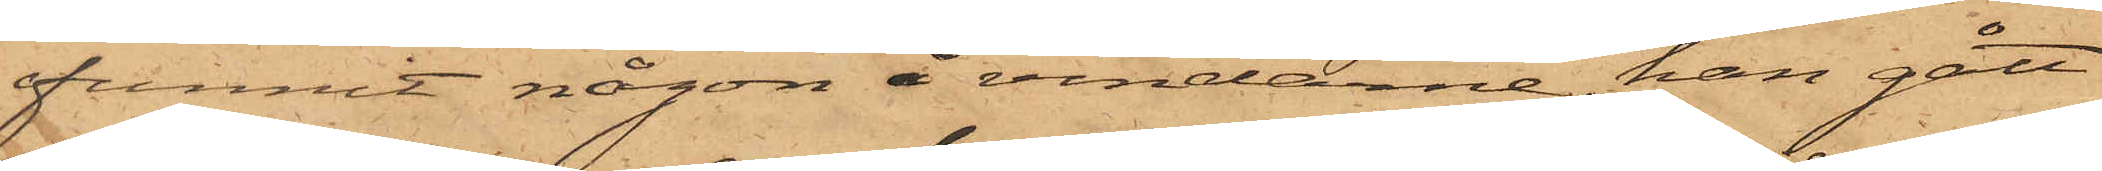funnit någon å vindarne, han gått
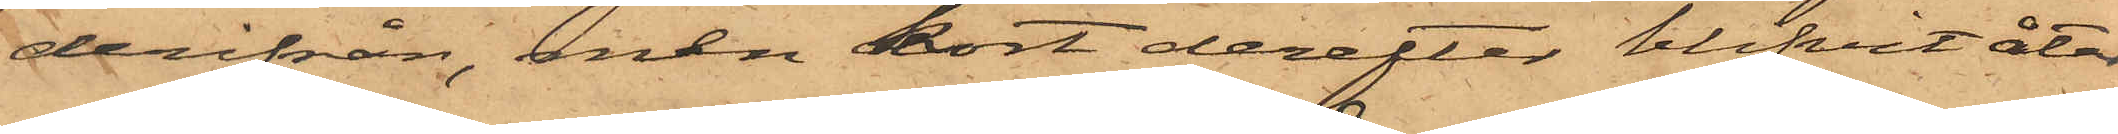derifrån, men kort derefter blifvit åter
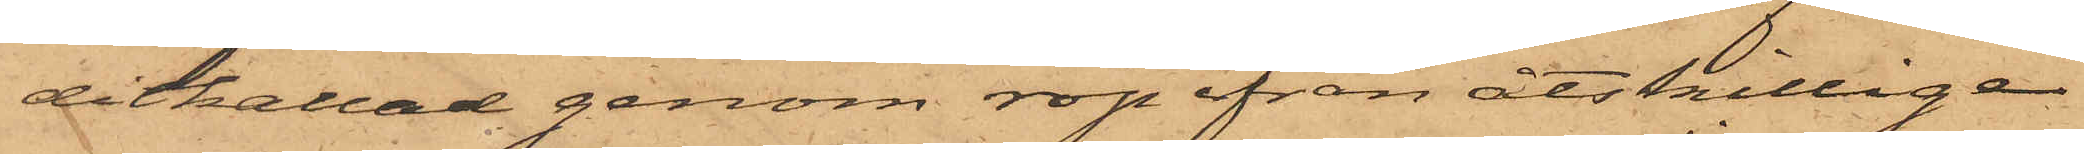ditkallad genom rop ifrån åtskillige
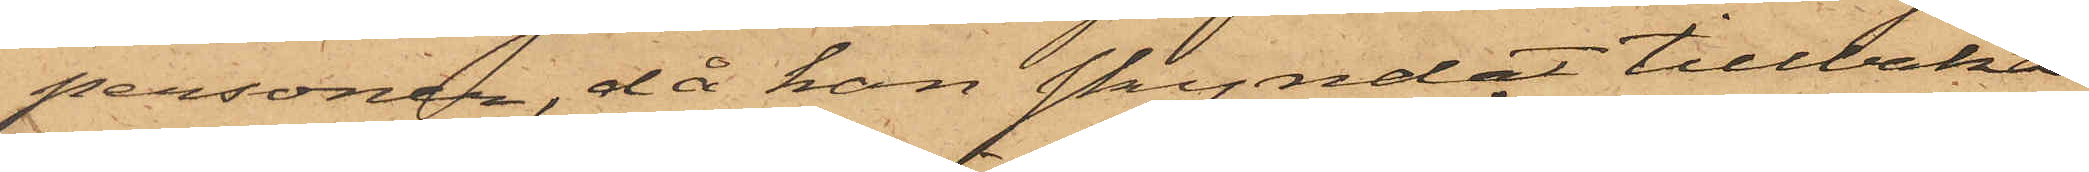personer, då han skyndat tillbaka
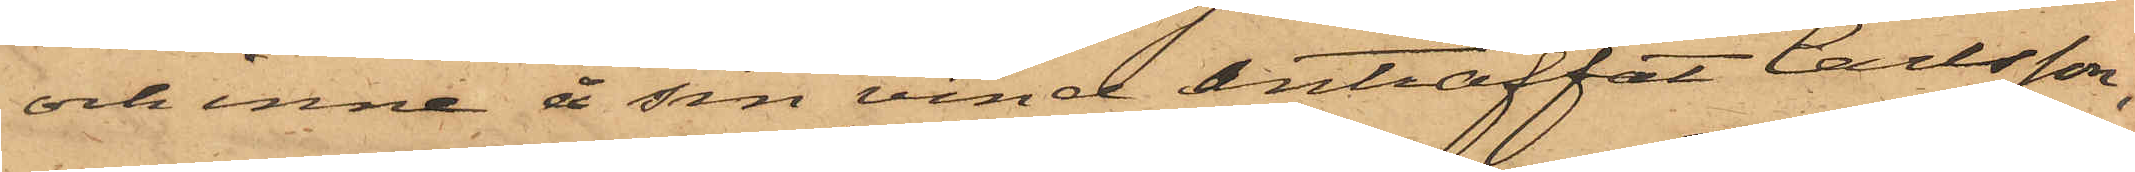och inne å sin vind anträffat Carlsson,
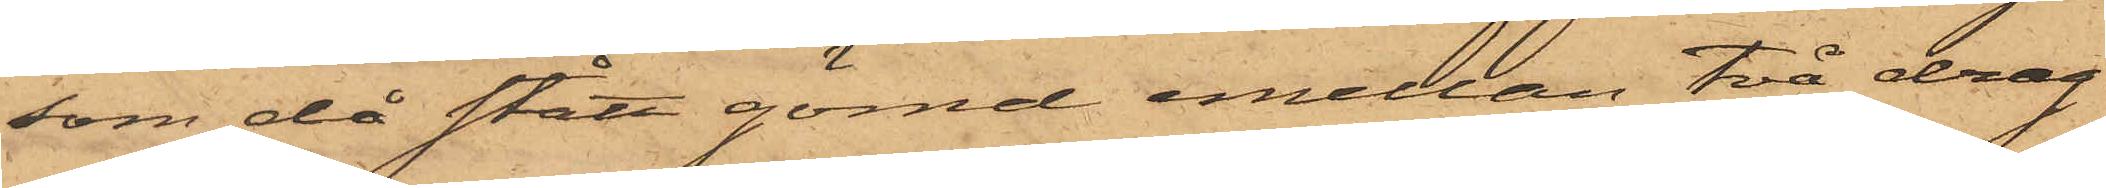som då stått gömd emellan två drag¬
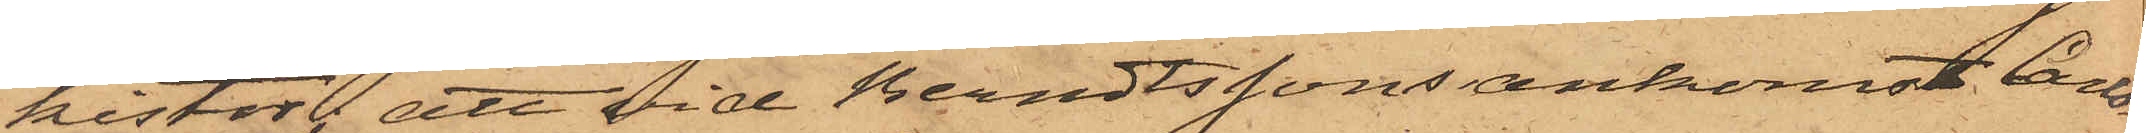kistor; att vid Berndtssons ankomst Carls¬
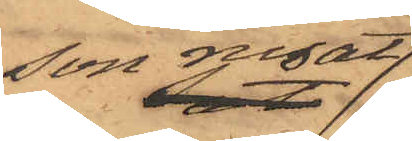son rusat
